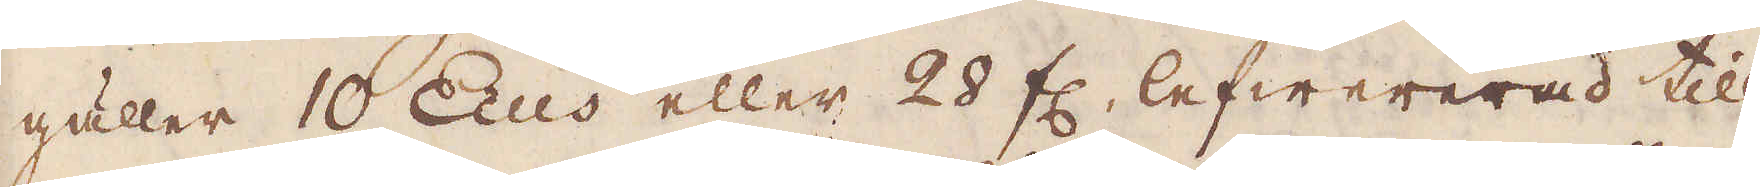gäller 10 Ecus eller 28 fl. lefwererad till
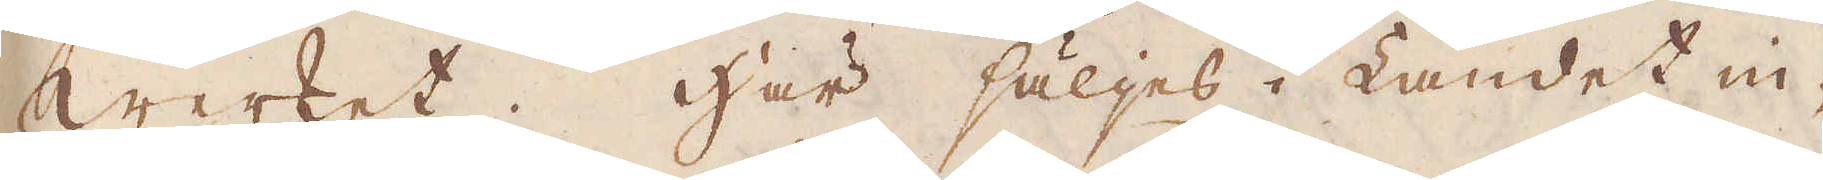Werket. Här säljes i Landet in-
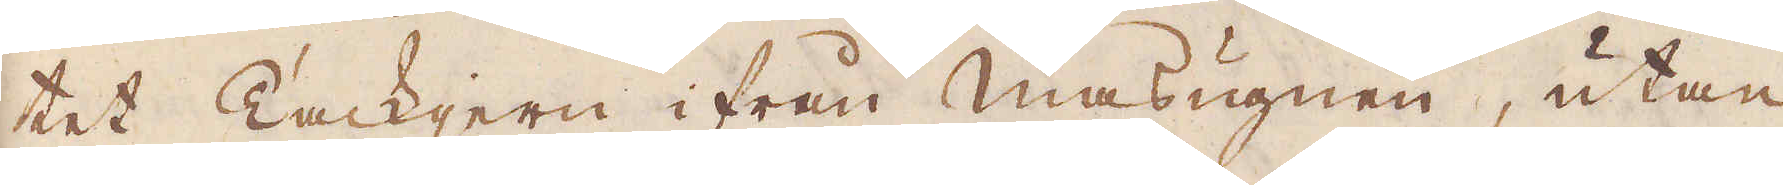tet Tackjern ifrån Masugnen, utan
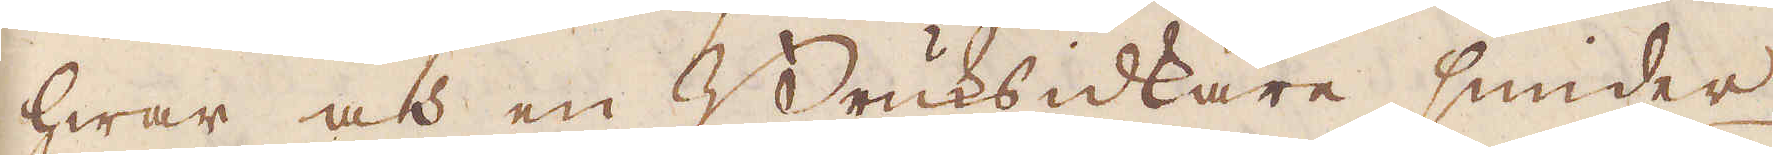hwar och en Bruksidkare smider
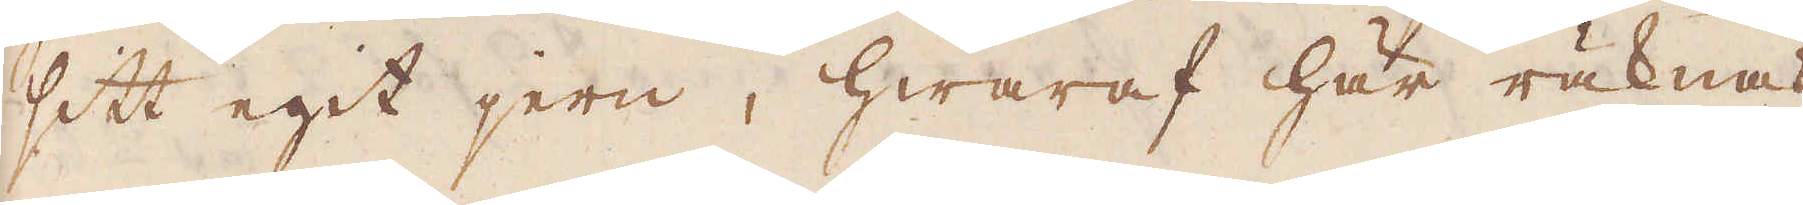sitt egit jern, hwaraf här räknas
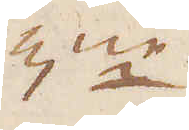3ne
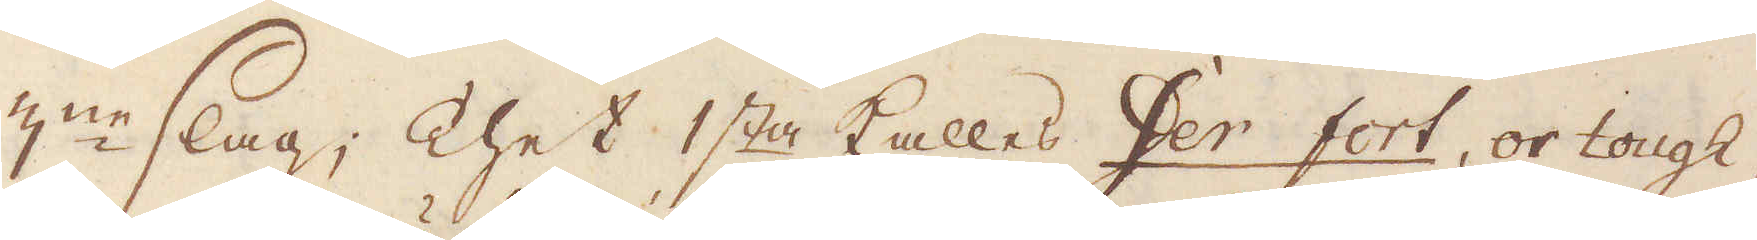3:ne slag; Thet 1sta kalles Fer fort, or tough,
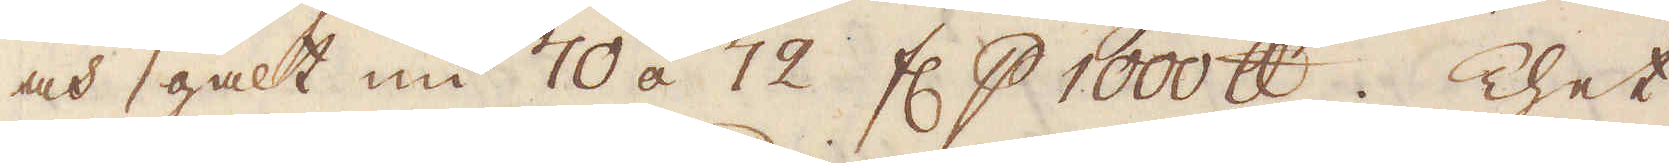och galt nu 70 á 72 fl p 1000 skålpund. Thet
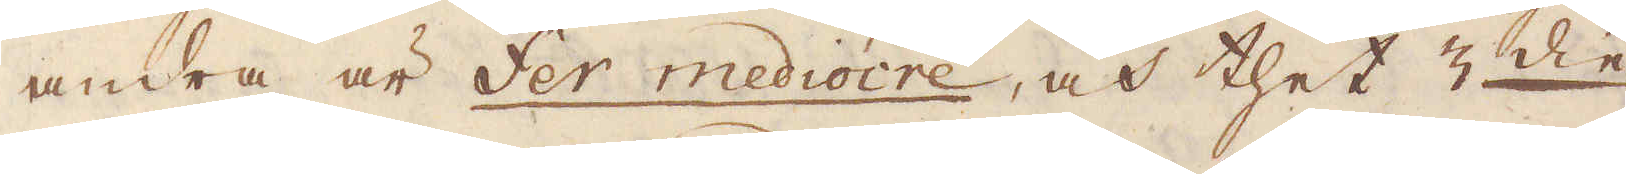andra är Fer mediocre, och thet 3:die
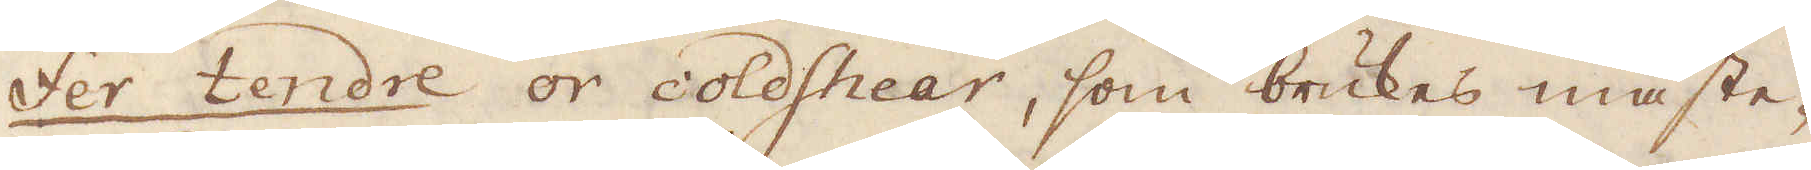Fer tendre or coldshear, som brukes mäste-
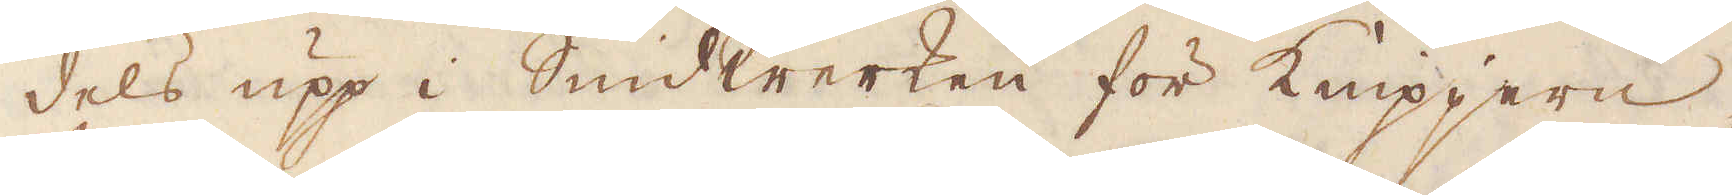dels upp i Smidwerken för Knippjern;
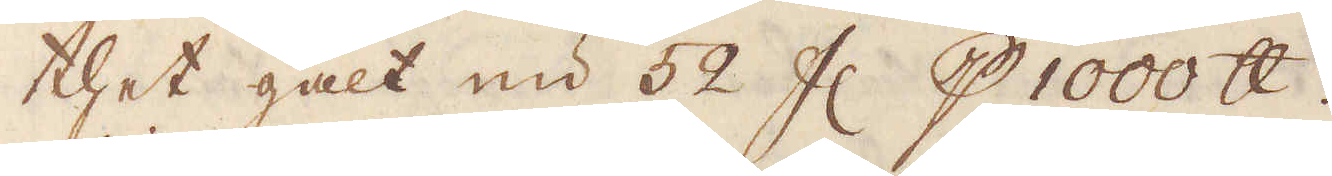thet galt nu 52 fl p 1000 skålpund.
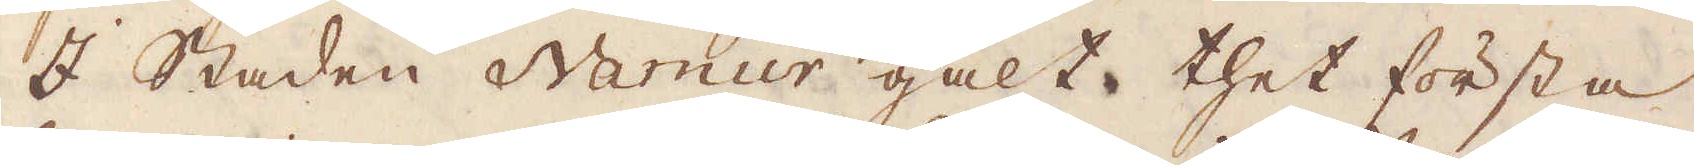I staden Namur galte thet första
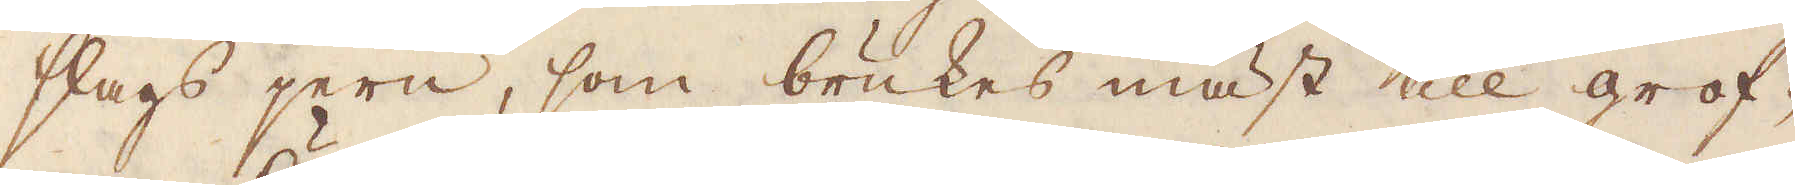slags jern, som brukes mäst till grof-
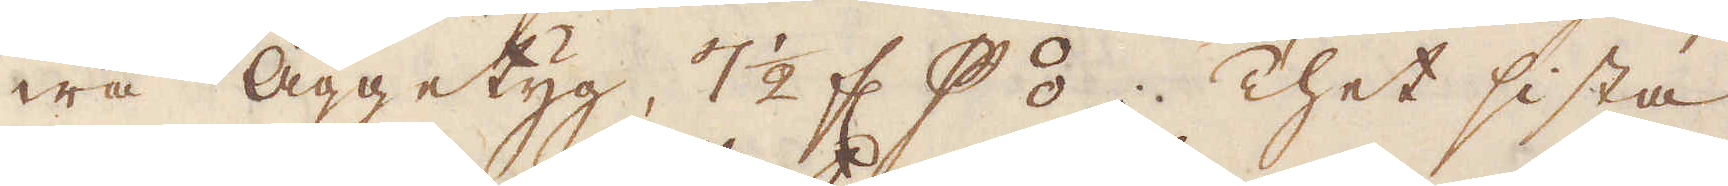wa Äggetyg, 7 1/2 fl p⦂; Thet sista
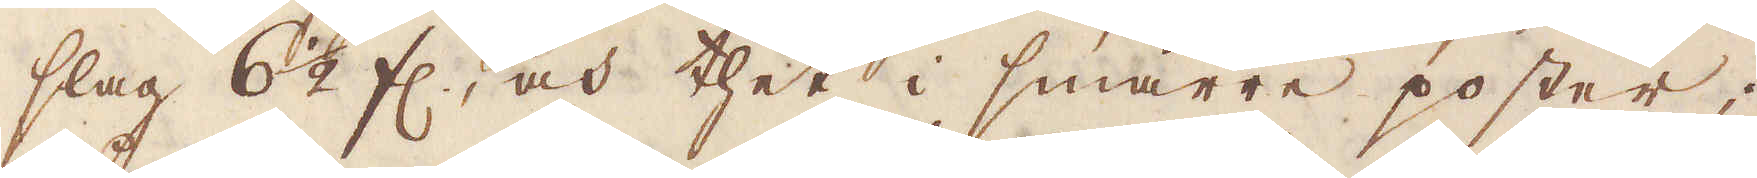slag 6 1/2 fl, och thet i smärre poster;
